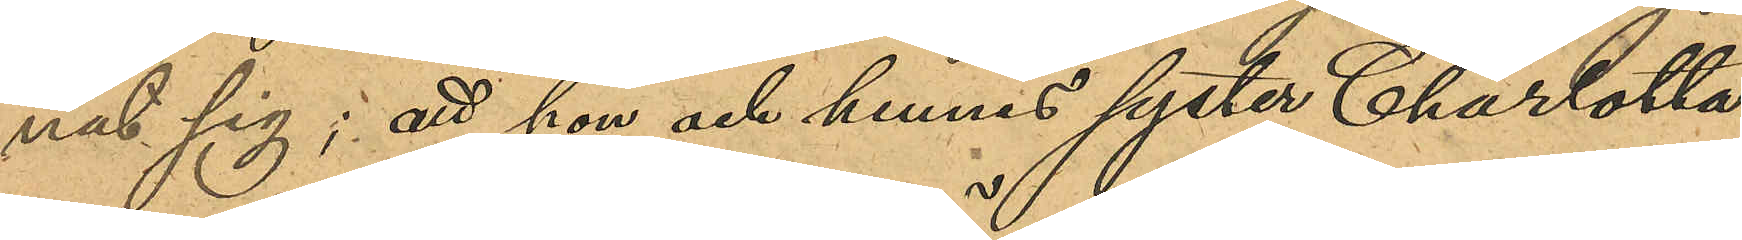nat sig; att hon och hennes syster Charlotta
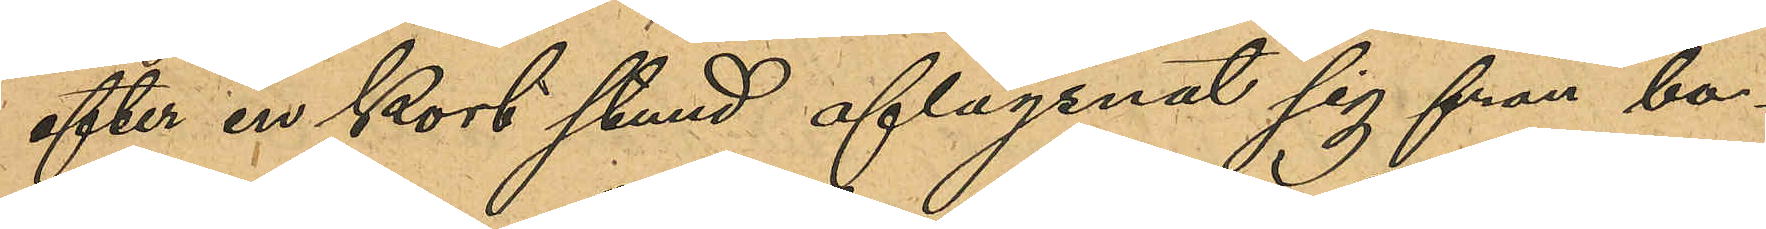efter en kort stund aflägsnat sig från bo¬
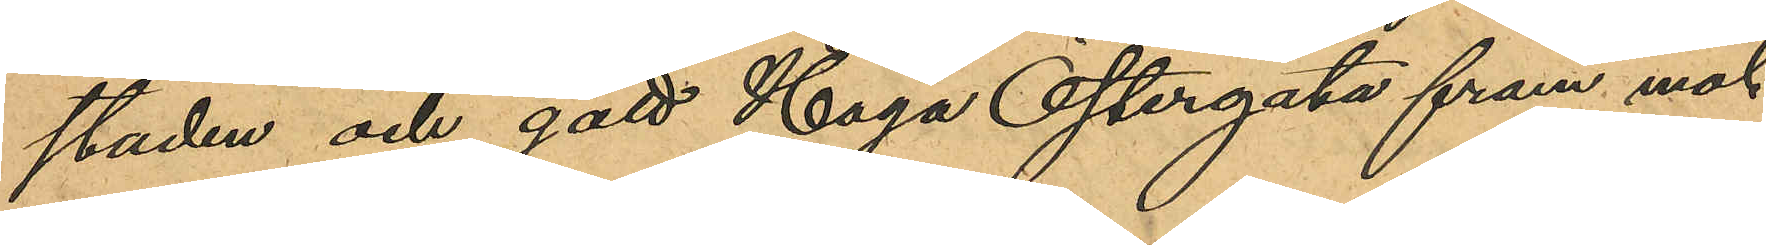staden och gått Haga Östergata fram mot
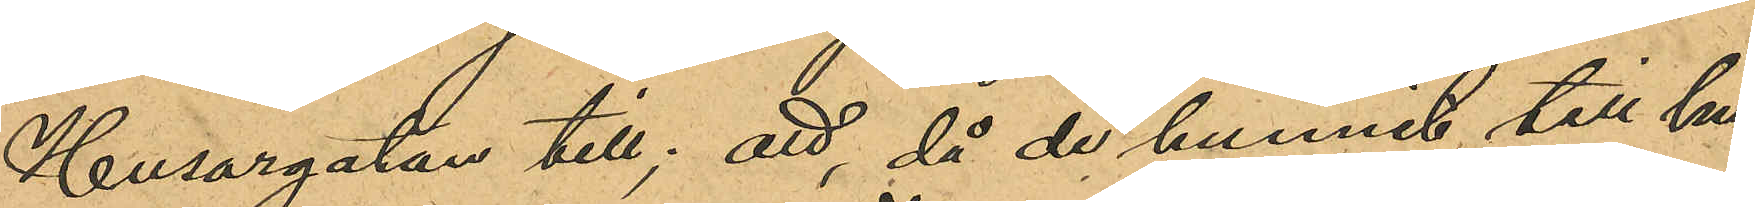Husargatan till; att, då de hunnit till hu¬
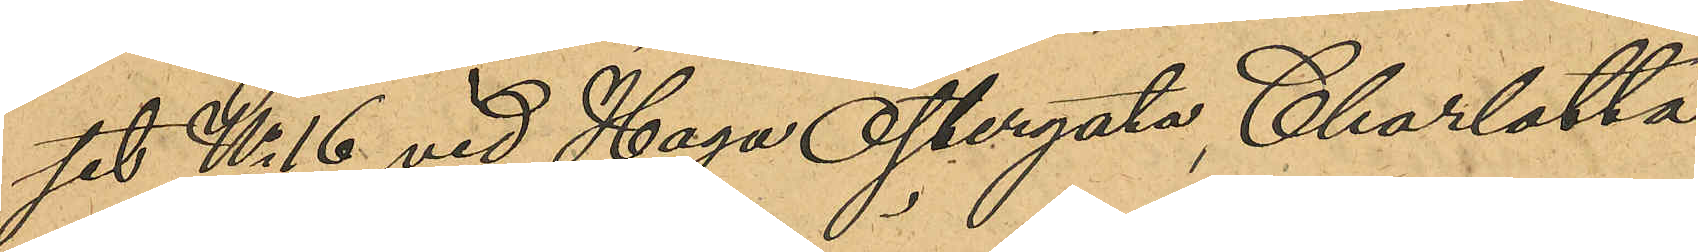set No 16 vid Haga Östergata, Charlotta
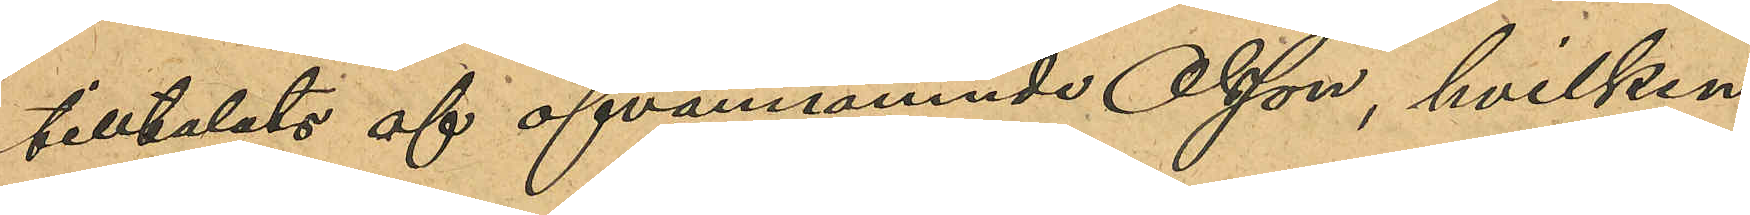tilltalats of ofvannämnde Olson, hvilken
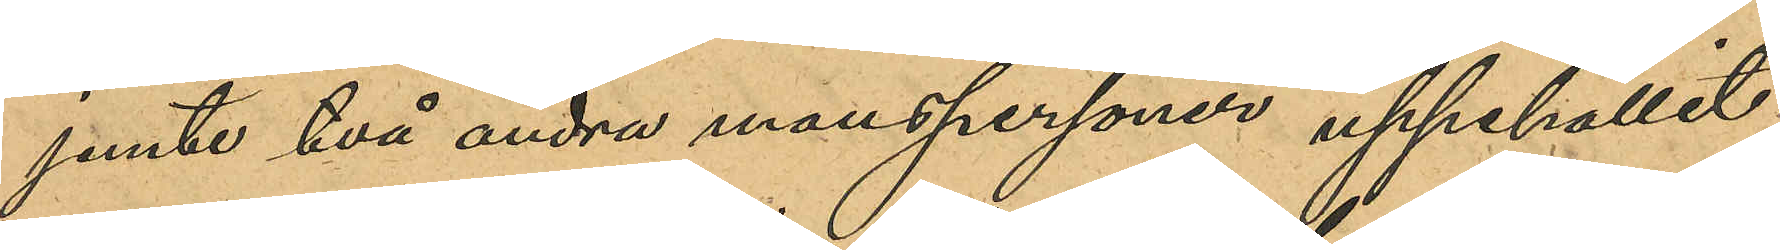jemte två andra manspersoner uppehållit
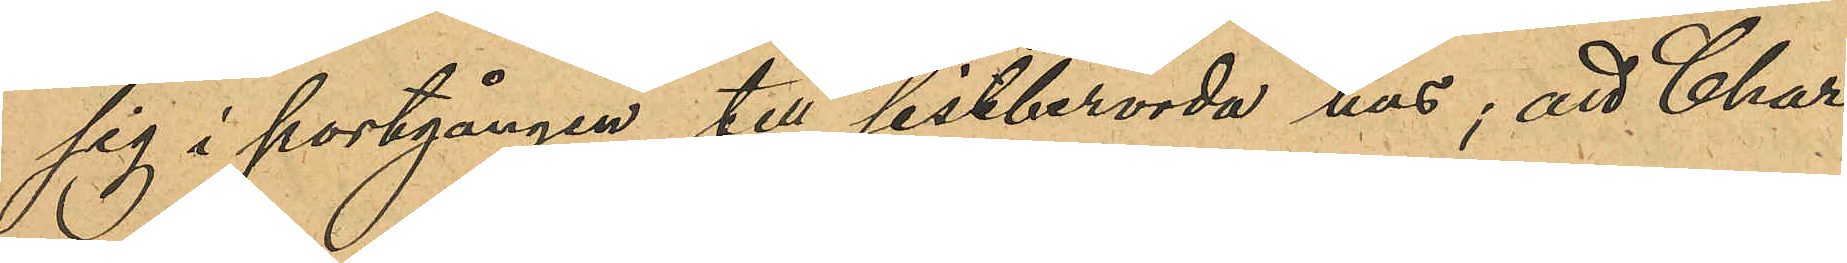sig i portgången till sistberörda hus; att Char¬
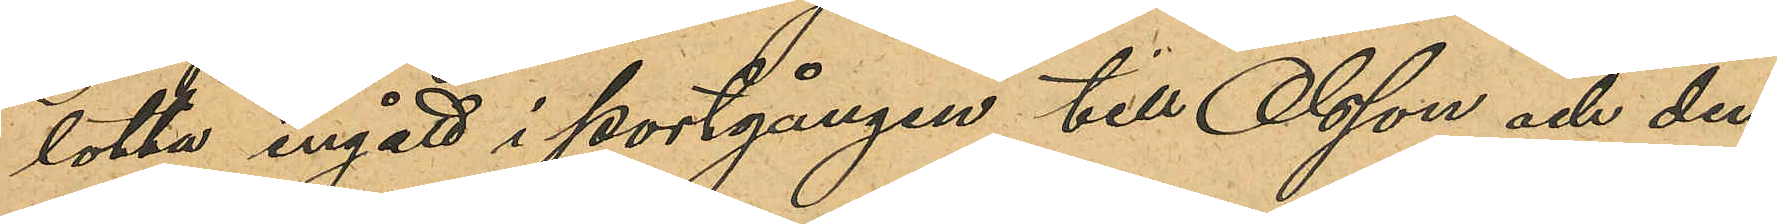lotta ingått i portgången till Olsson och den¬
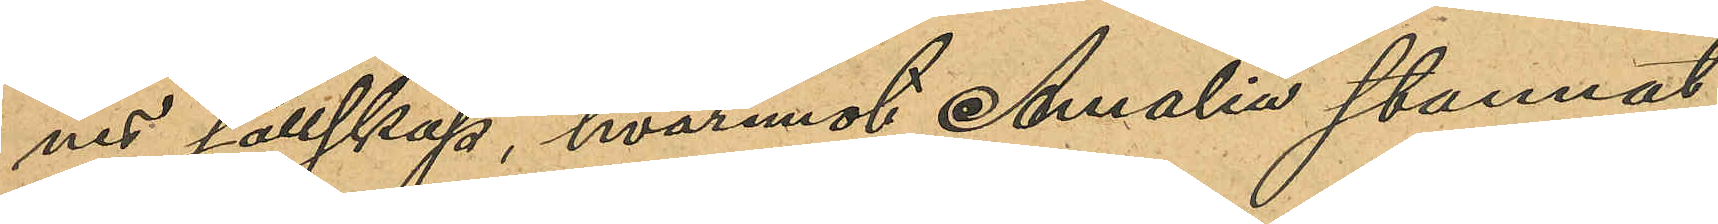nes sällskap, hvaremot Amalia stannat
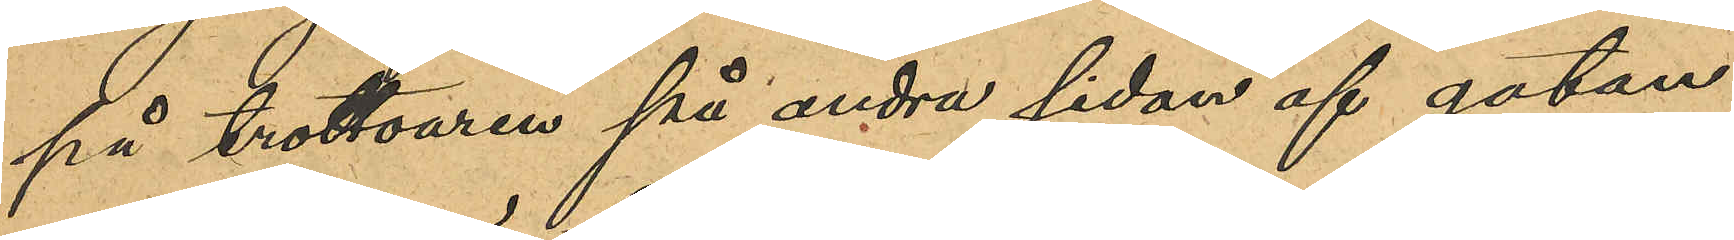på trottoaren på andra sidan af gatan
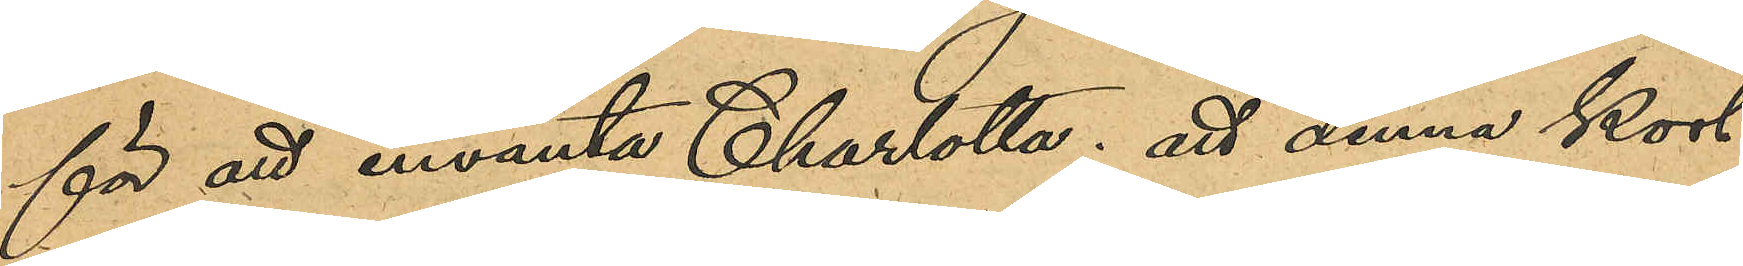för att invänta Charlotta; att denna kort
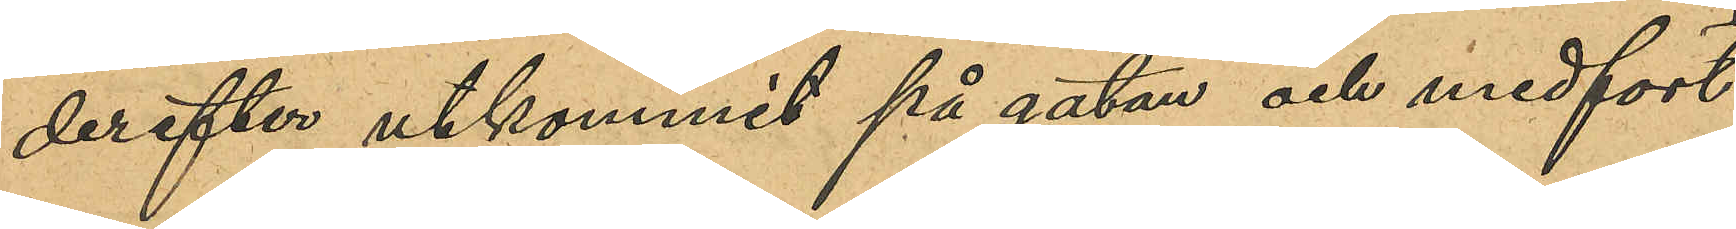derefter utkommit på gatan och medfört
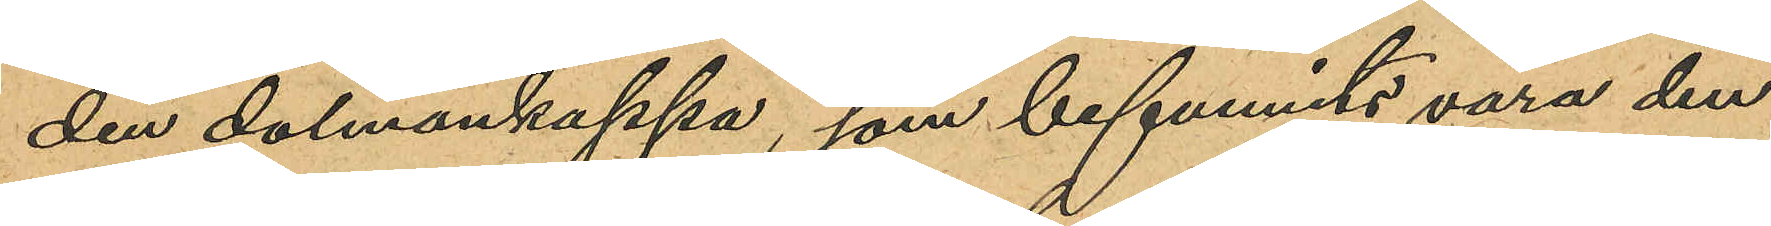den dalmanskappa, som befunnits vara den
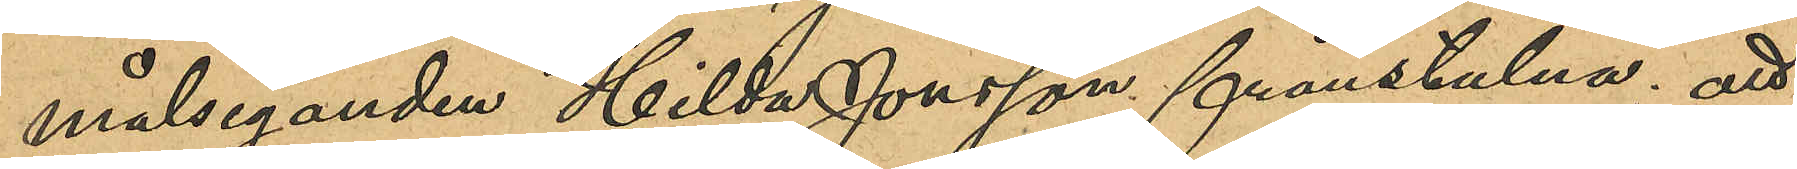målseganden Hilda Jonsson frånstulna; att
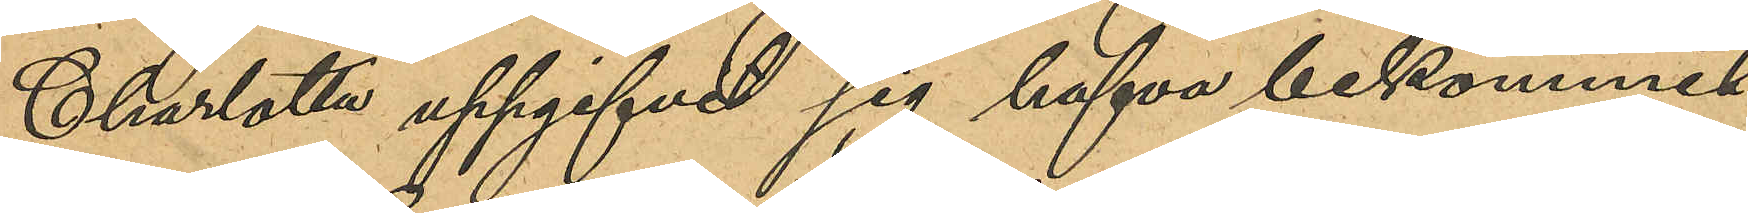Charlotta uppgifvit sig hafva bekommit
